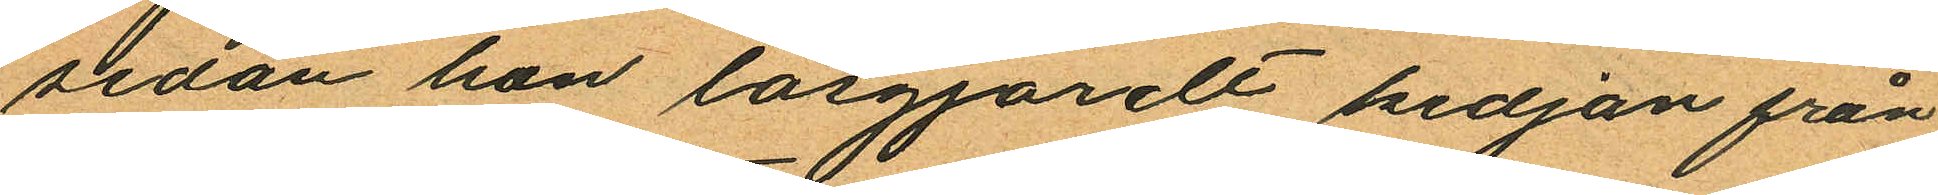sedan hon lösgjordt kedjan från
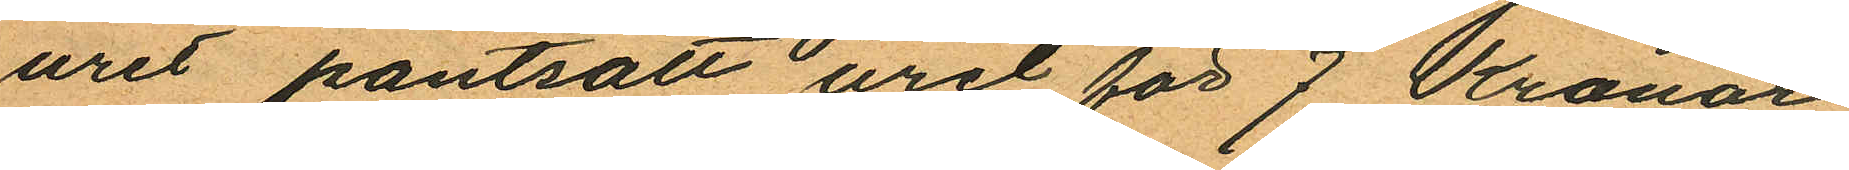uret pantsatt uret för 7 Kronor
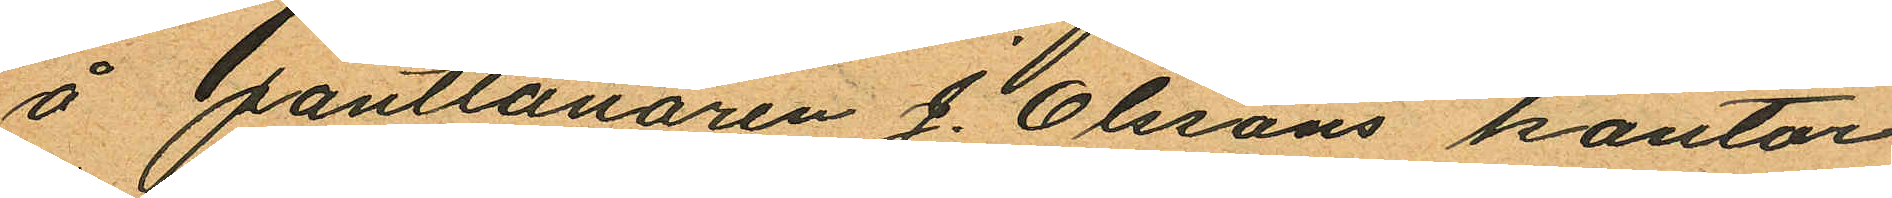å Pantlånaren J. Olssons kontor
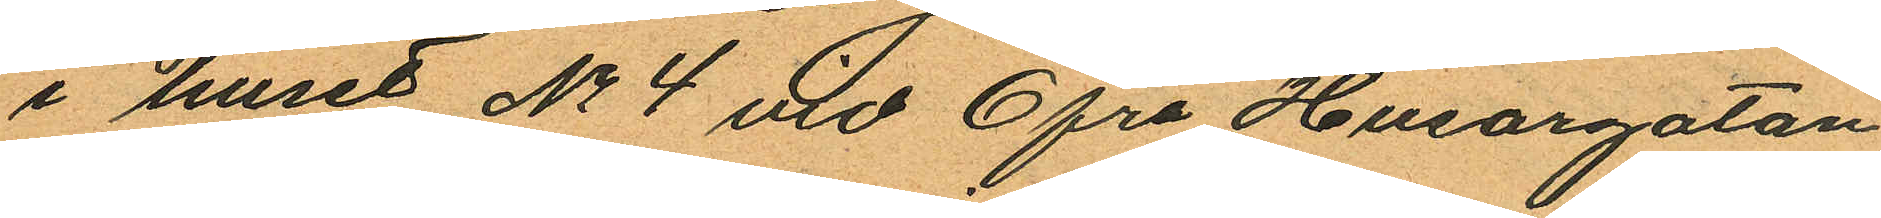i huset No 4 vid Öfra Husargatan
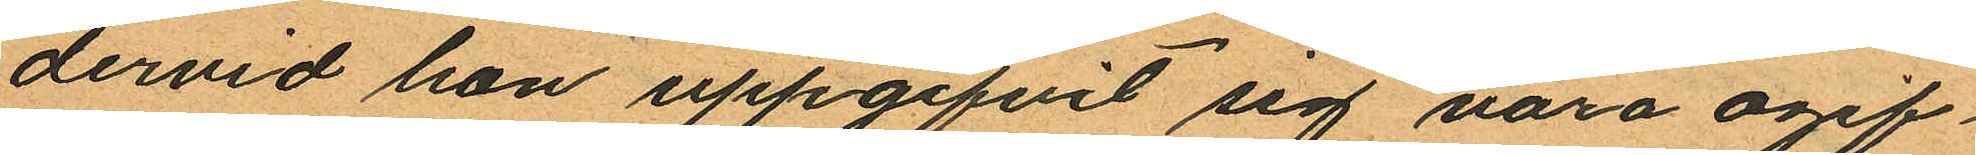dervid hon uppgifvit sig vara ogif¬
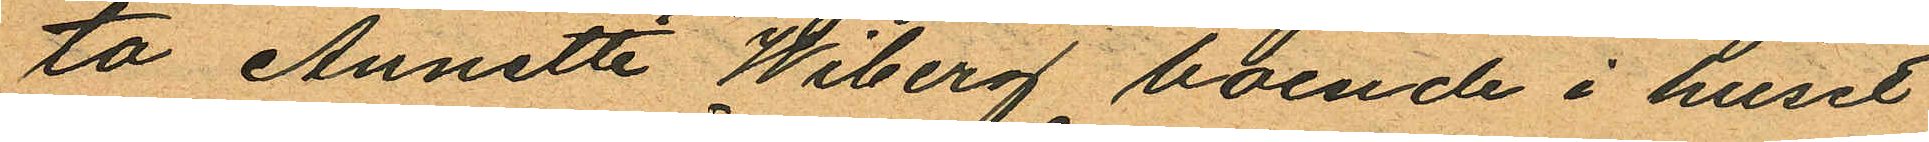ta Annette Wiberg boende i huset
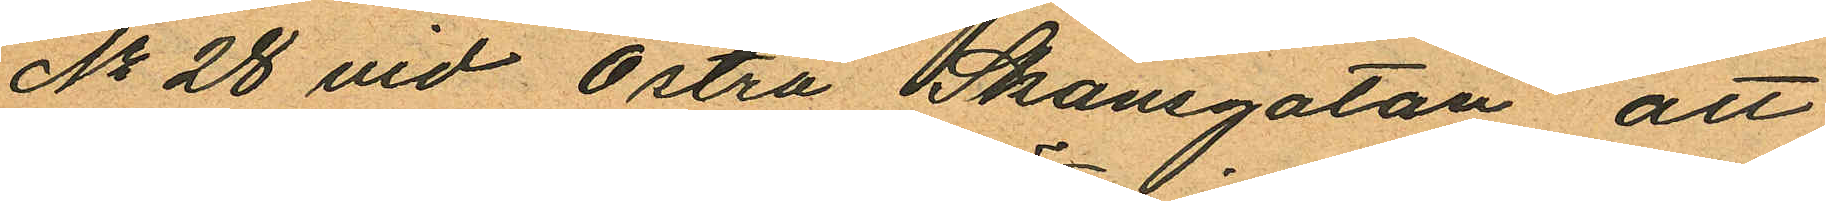No 28 vid Östra Skansgatan att
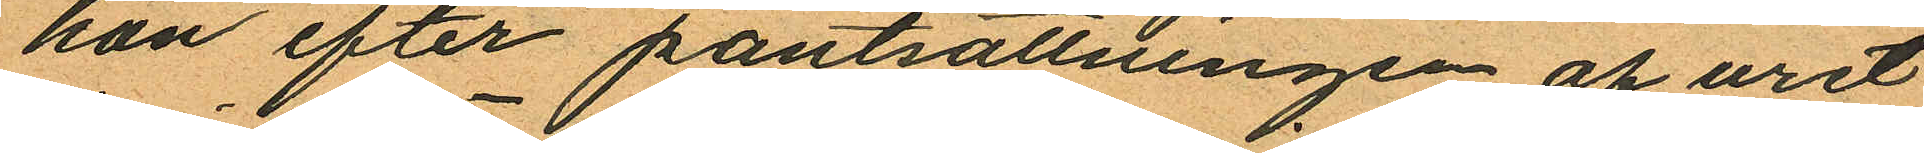hon efter pantsättningen af uret
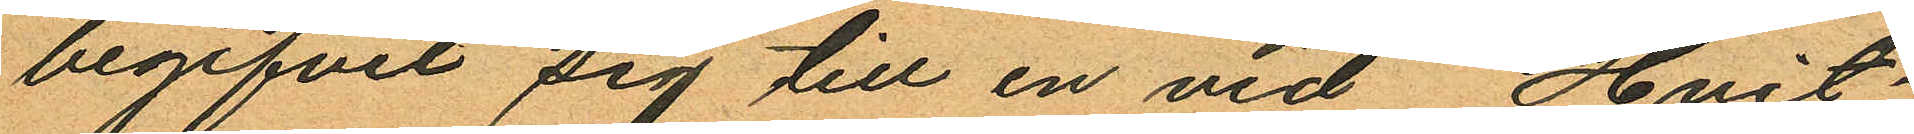begifvit sig till en vid Hvit¬
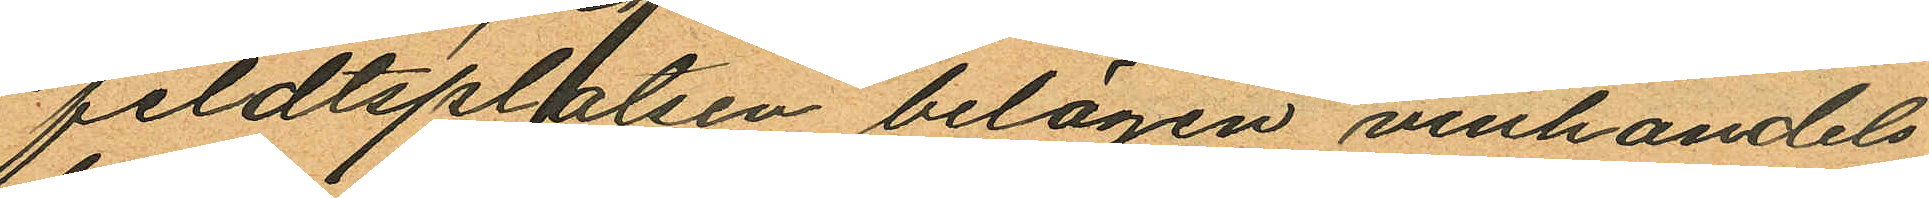feldtsplatsen belägen vinhandels
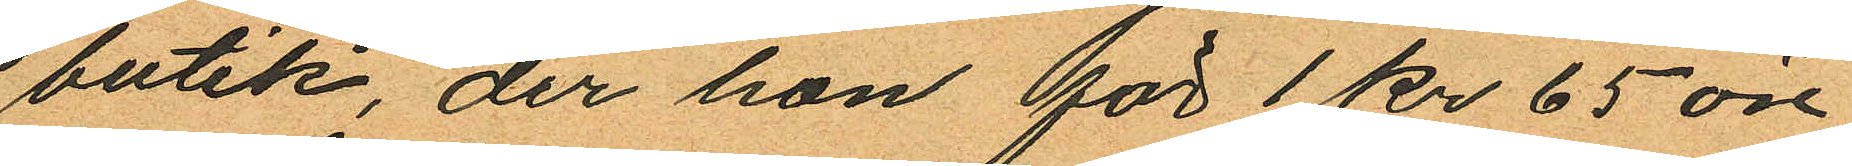butik, der han för 1 kr 65 öre
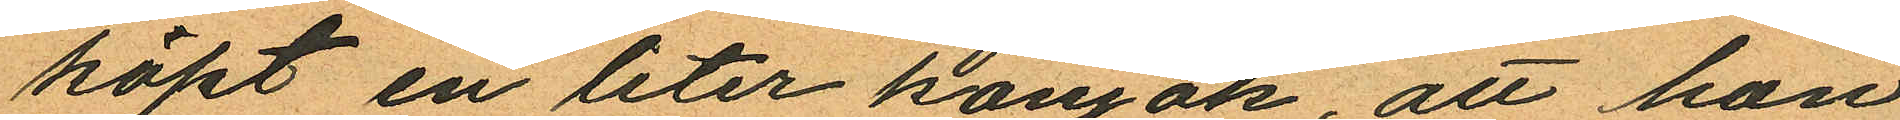köpt en liter konjak, att hon
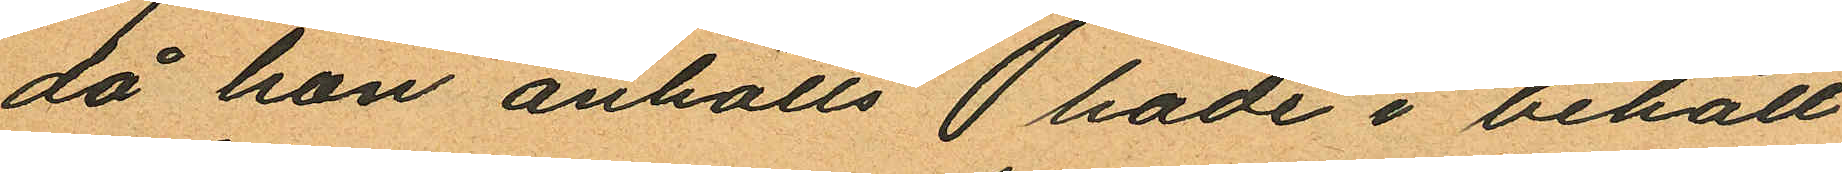då hon anhölls  hade i behåll
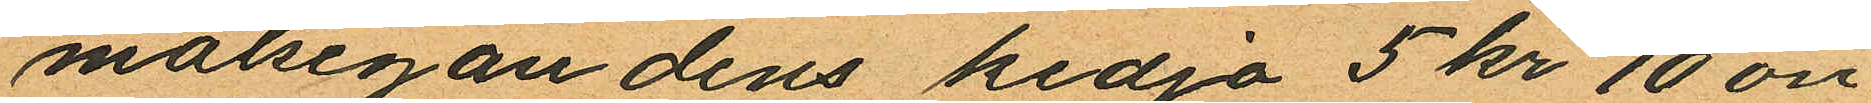målsegandens kedja 5 kr 10 öre
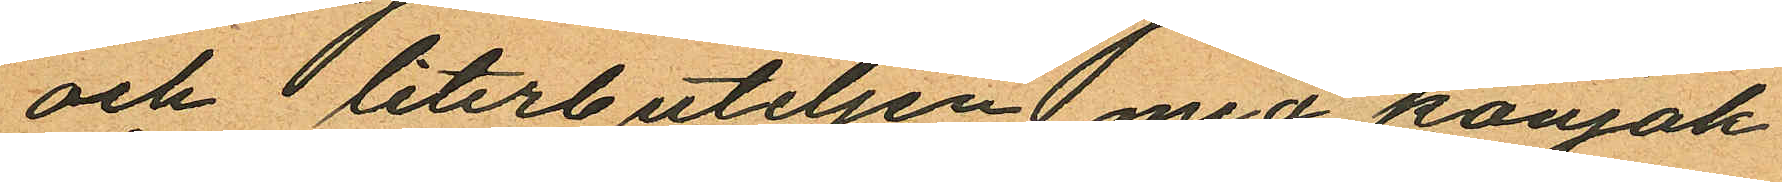och literbuteljen med konjak
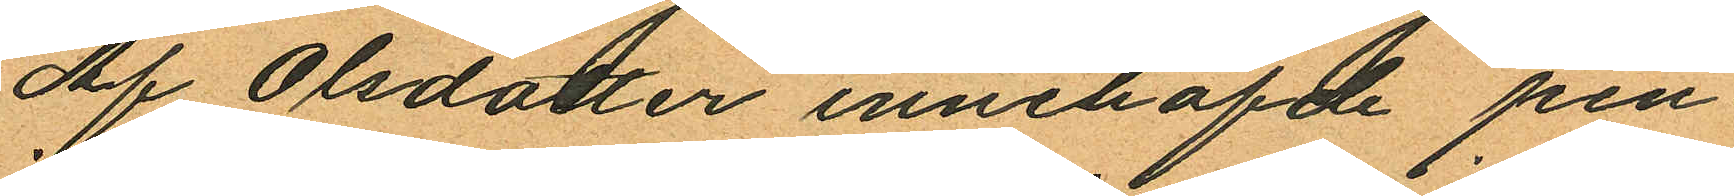Af Olsdotter innehafde pen¬
